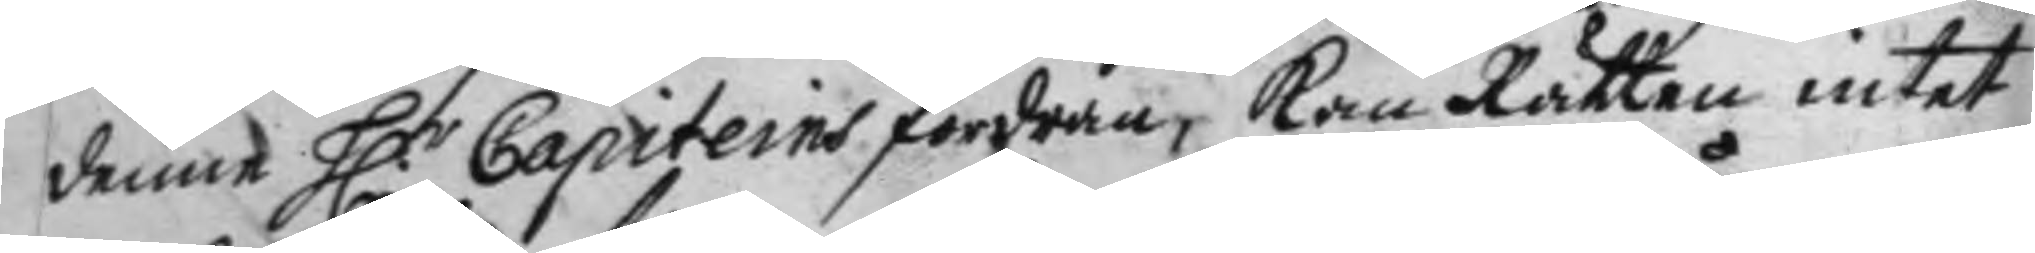denne H.r Capiteins fordran, kan Rätten intet
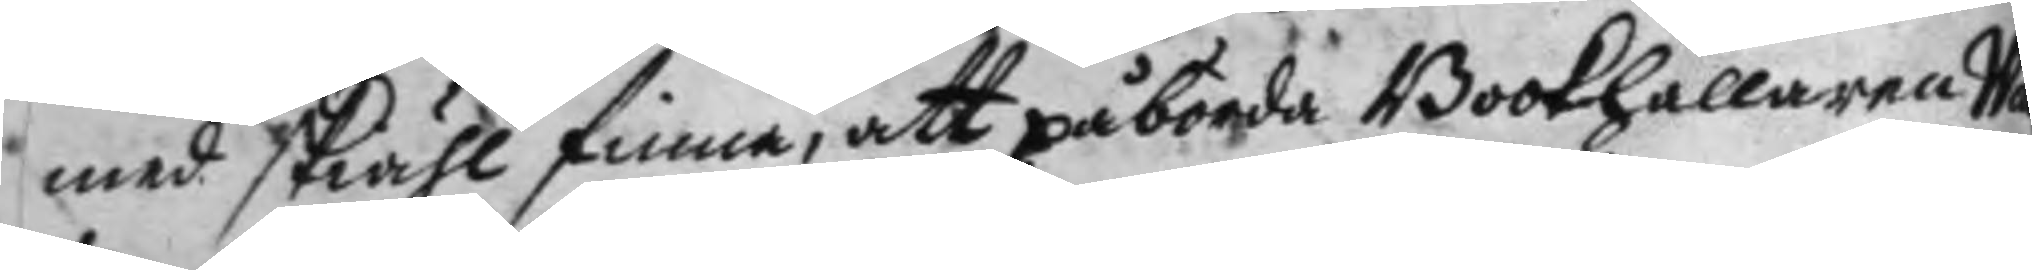med skihl finna, att påbörda Bookhållaren Wa¬
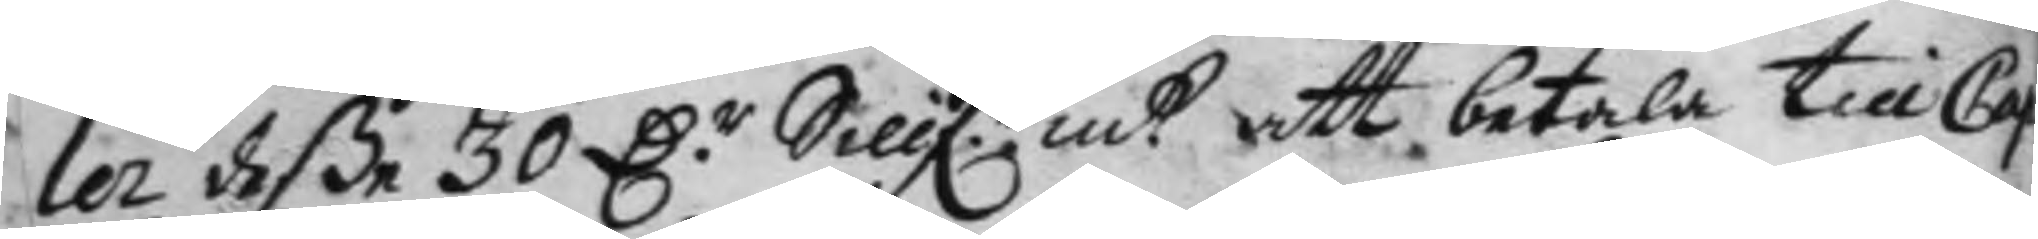ler deße 30 D.r Sillf.r mtt att betala till Cap.
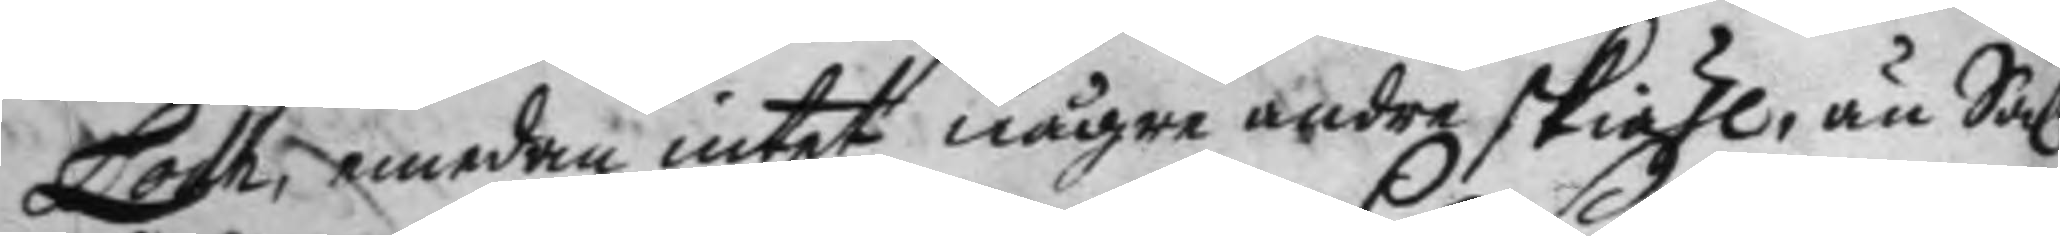Loth, emedan intet någre andre skiähl, än Sal.
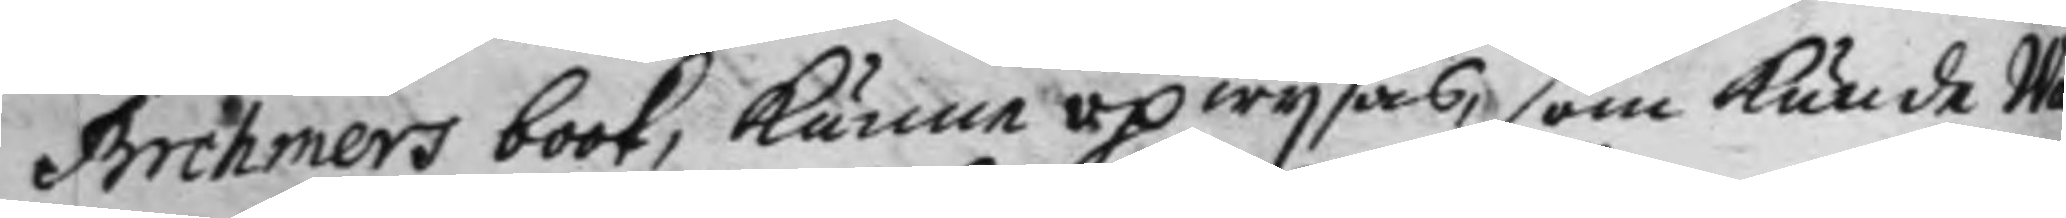Brehmers book, kunna opwysas, som kunde Wa¬
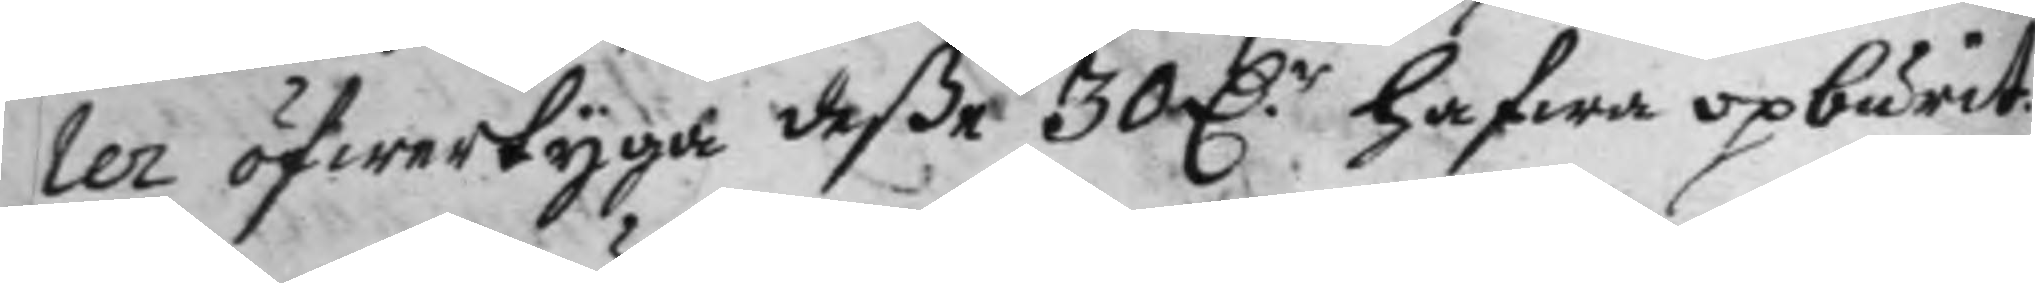ler öfwertyga deße 30 D.r hafwa opburit.
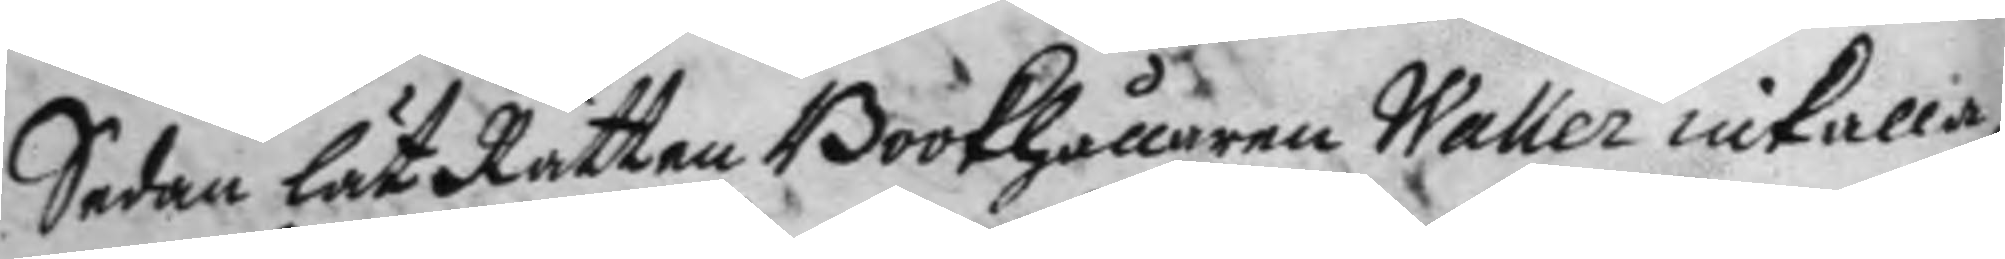Sedan lät Rätten Bookhållaren Waller inkalla,
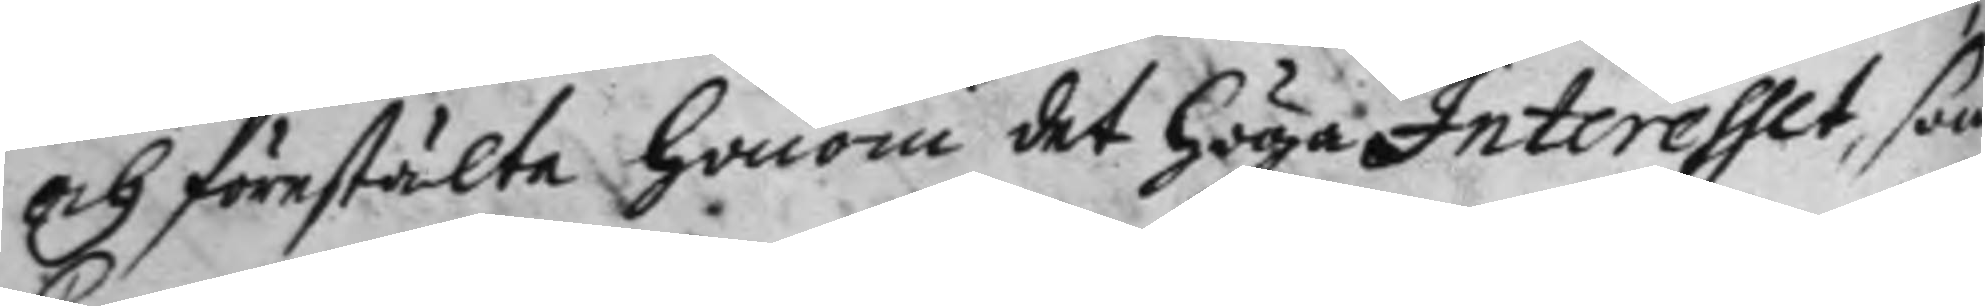och förestälte honom det höga Interesset, som
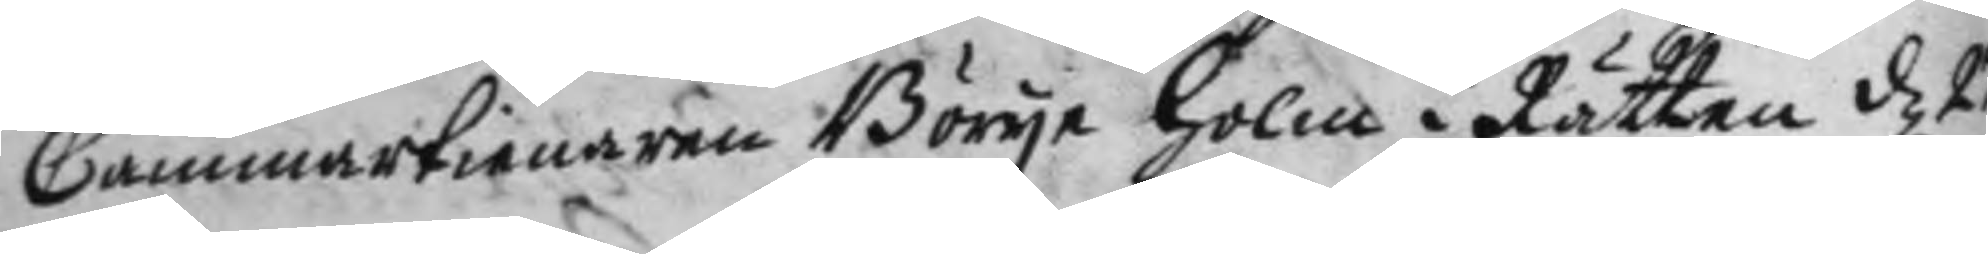Cammartienaren Börye Holm i Rätten d 21
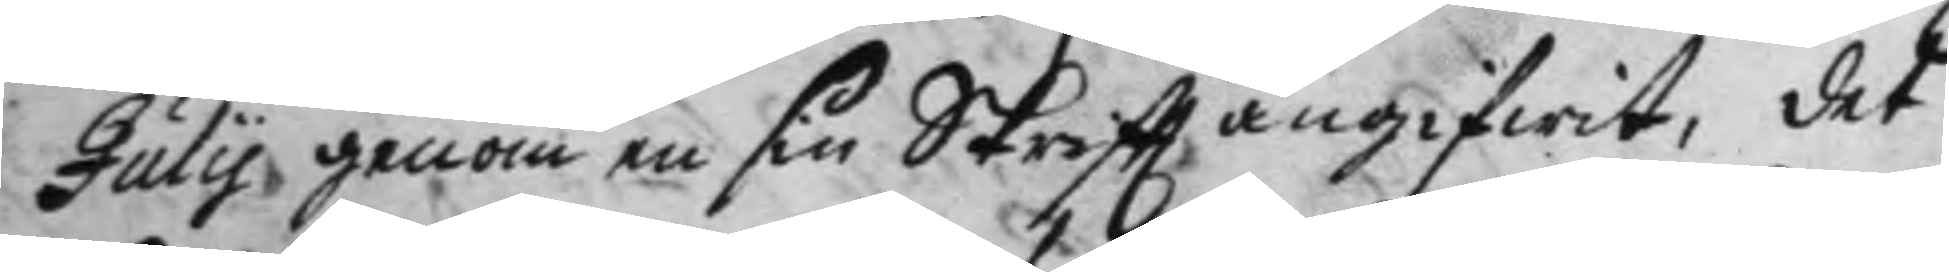July genom en sin Skriftt angifwit, det
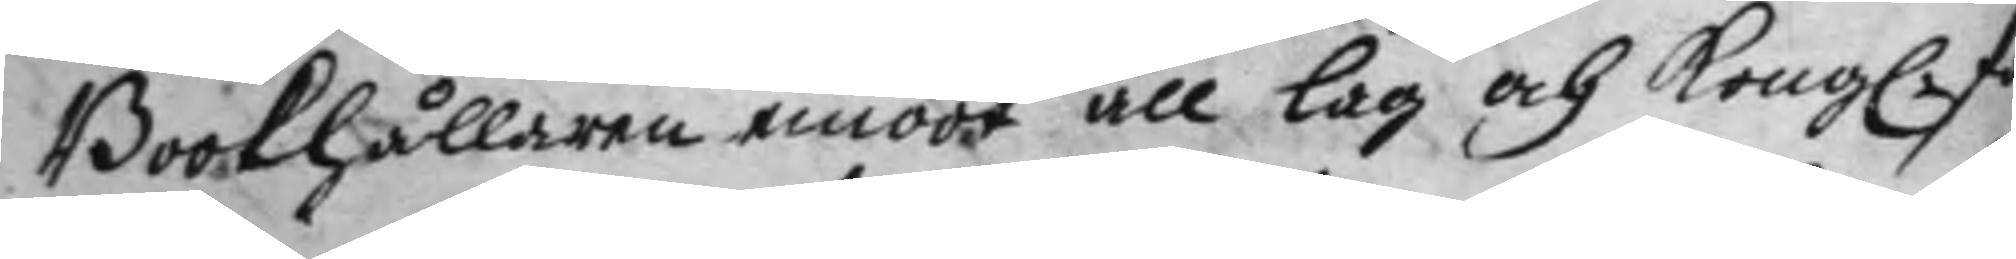Bookhållaren emoot all lag och Kong. för¬
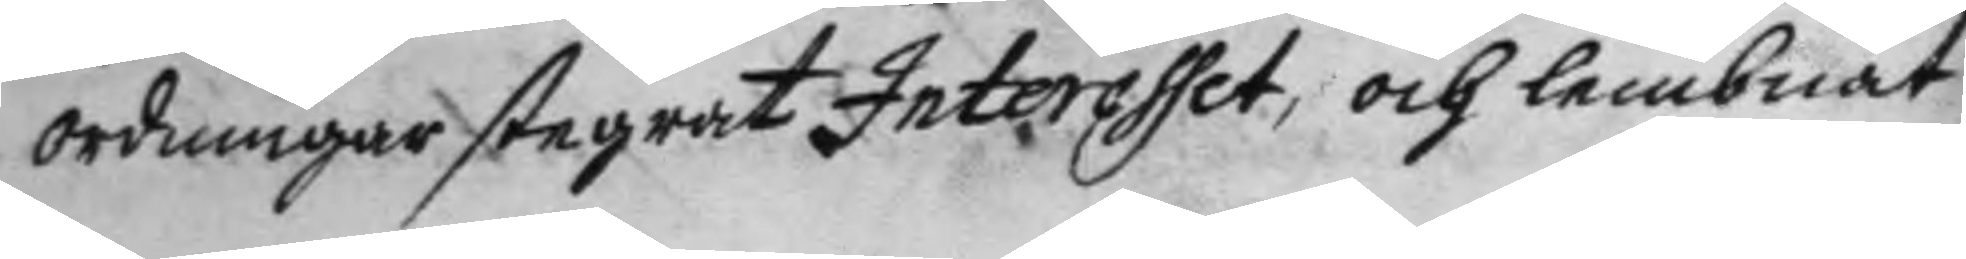ordningar stegrat Interesset, och lembnat
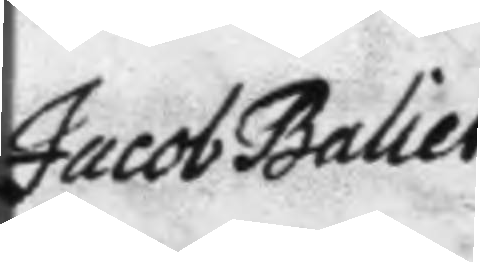Jacob Baliet
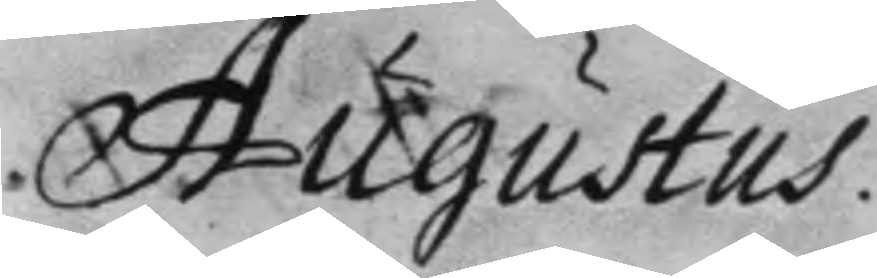Augustus.
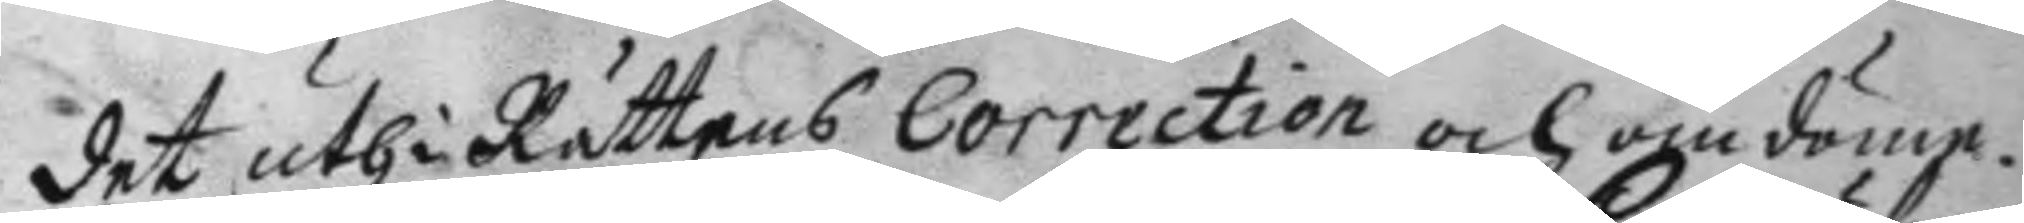det uthi Rättens Correction och omdöme.
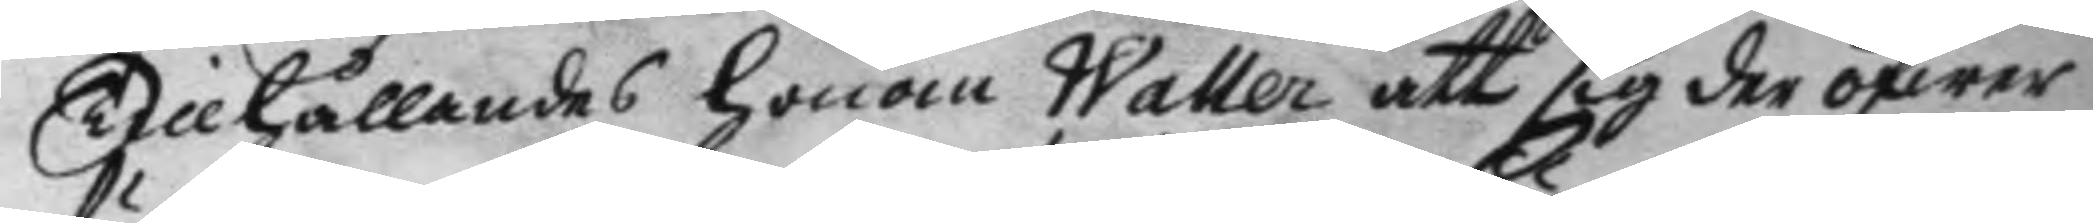Tillhållandes hoom Waller att sig der öfwer
